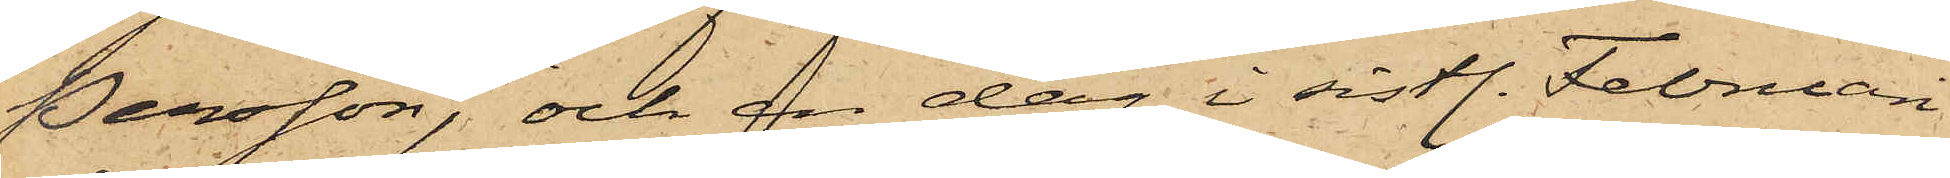Persson, och en dag i sistl. Februari
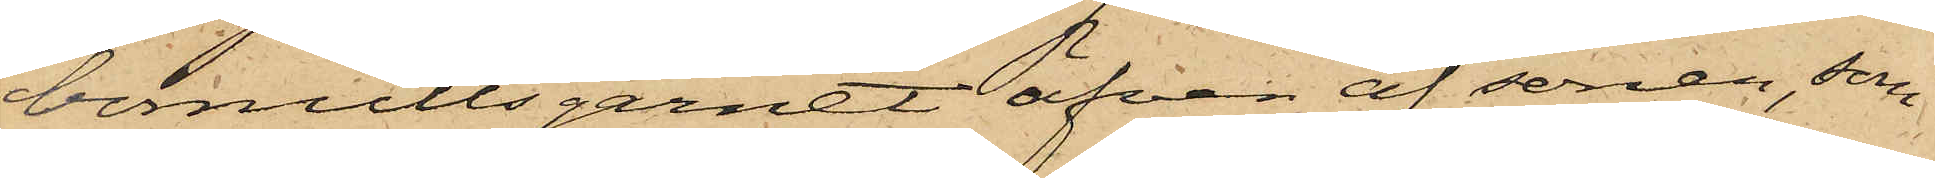bomullsgarnet äfven af sonen, som
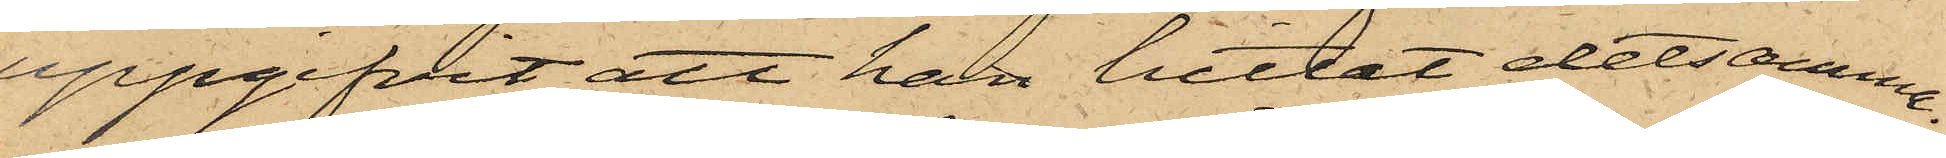uppgifvit att han hittat detsamma.
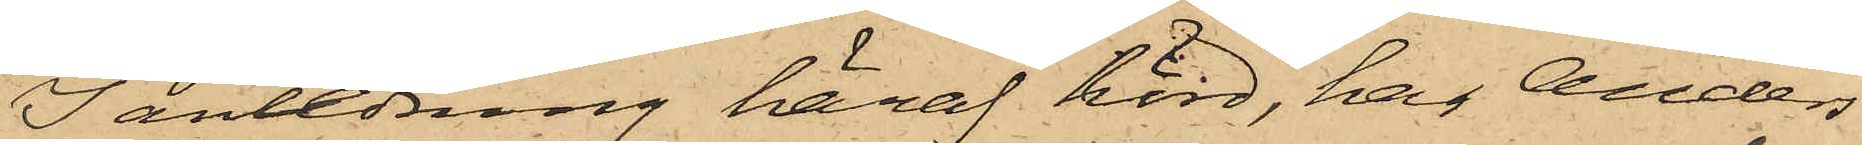I anledning häraf hörd, har Anders
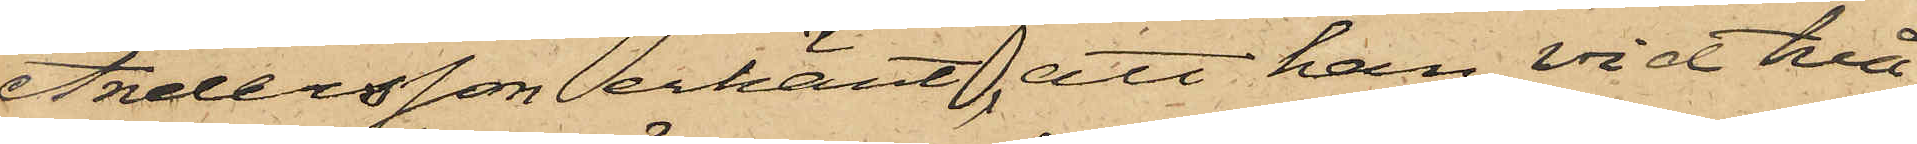Andersson erkänt, att han vid två
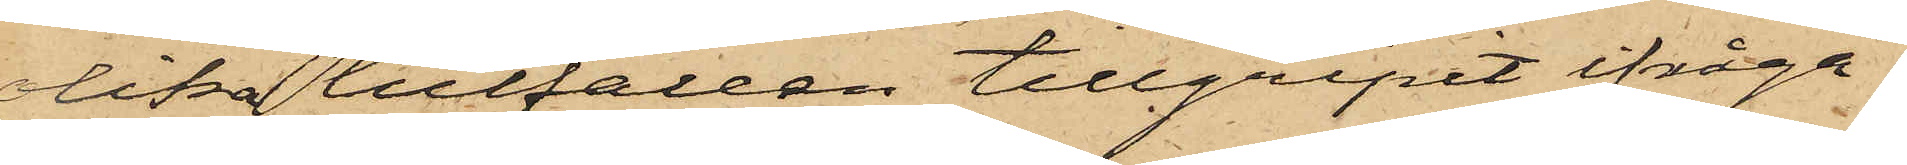olika tillfällen tillgripit ifråga¬
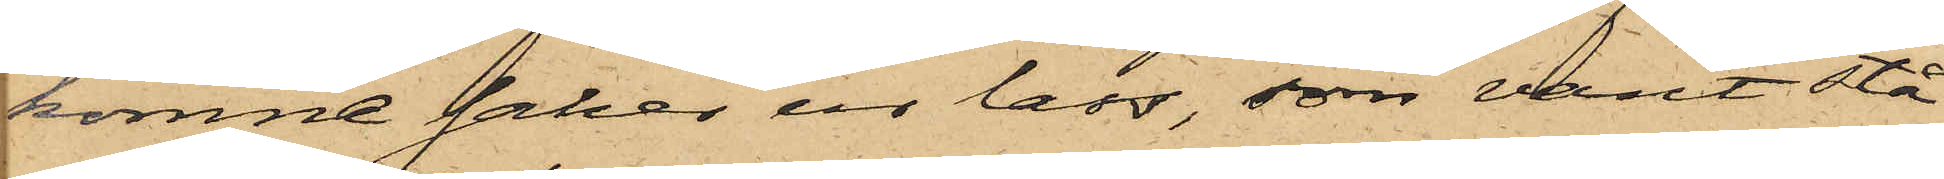komne saker ur lass, som varit stå¬
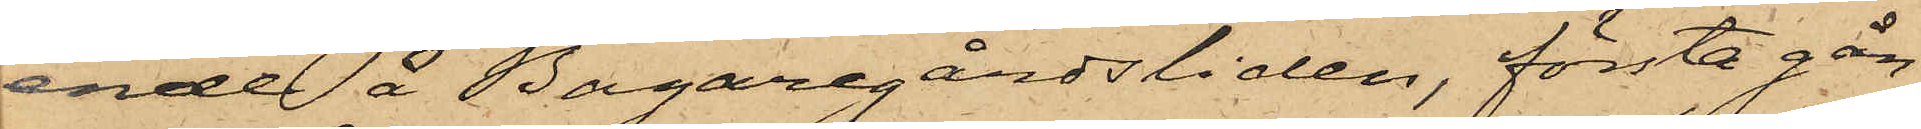ende å Bagaregårdsliden, första gån¬
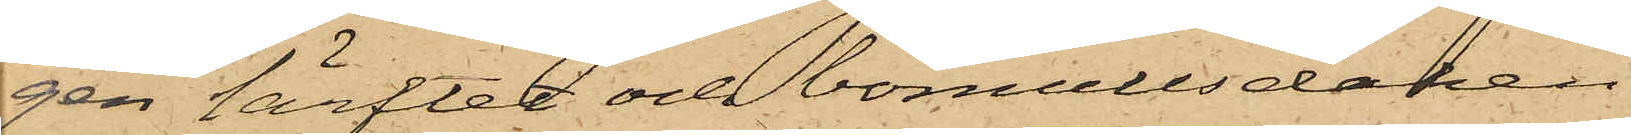gen lärftet och bomullsduken
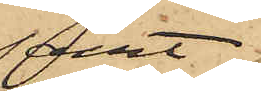samt
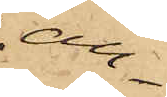an¬
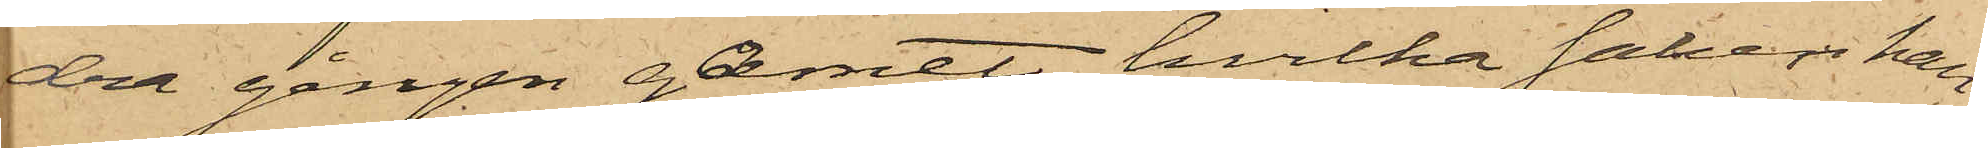dra gången garnet, hvilka saker han
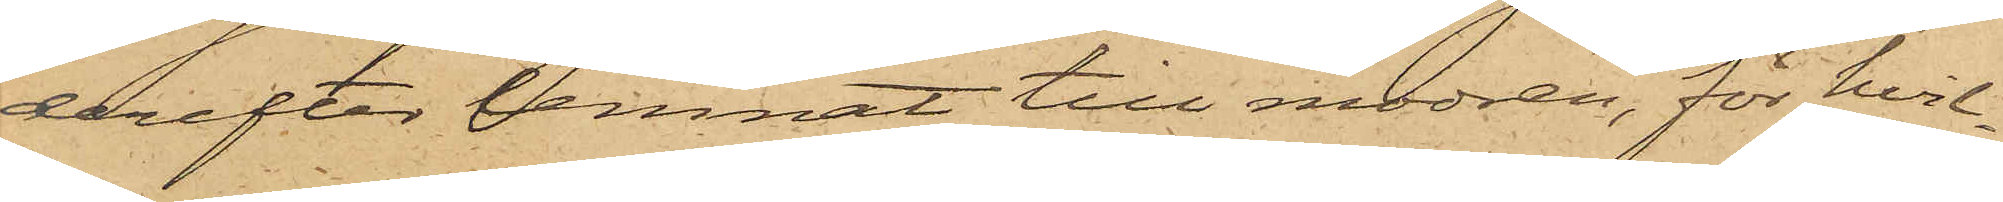derefter lemnat till modren, för hvil¬
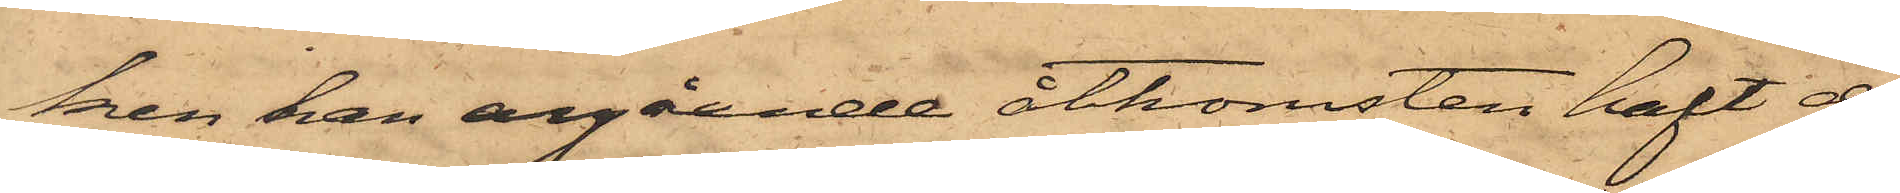ken han angående åtkomsten haft de
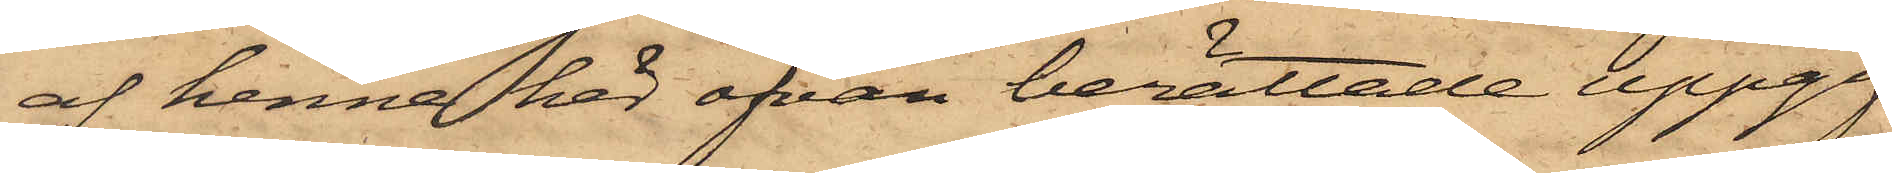af henne här ofvan berättade uppgif¬
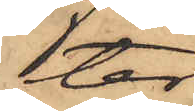ter.
